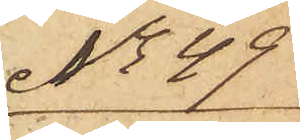No 49
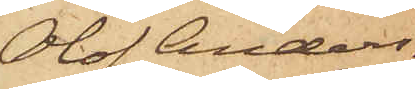Olof Anders¬
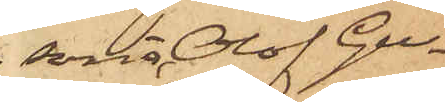son, Olof Gu¬
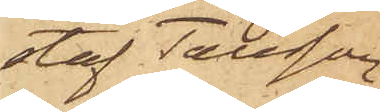staf Tausson
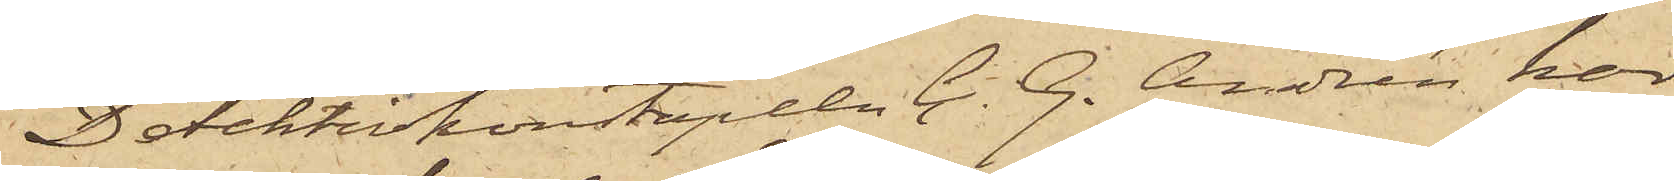Detektivkonstapeln C. G. Andrén har
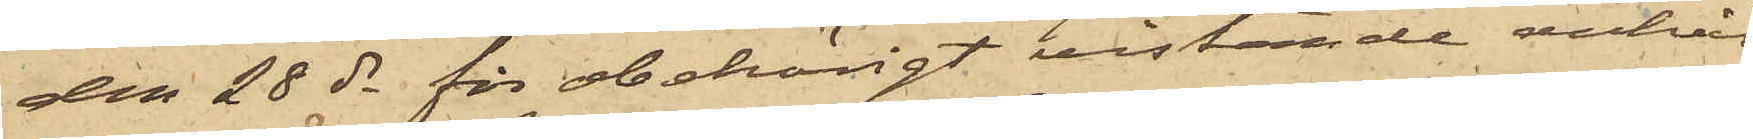den 28 ds för obehörigt vistande anhål¬
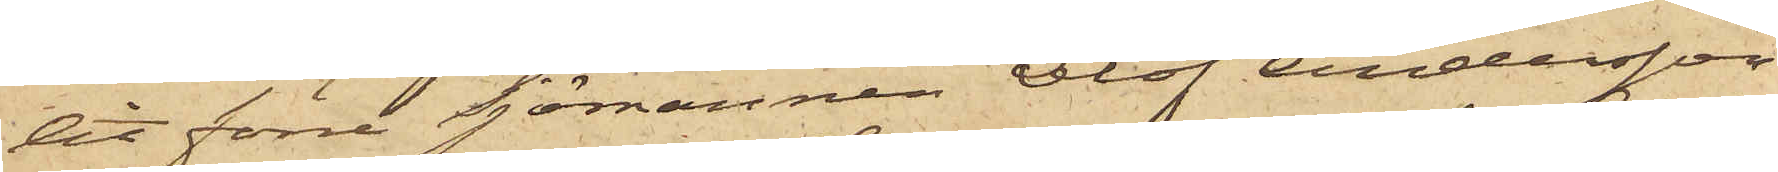lit förre Sjömannen Olof Andersson
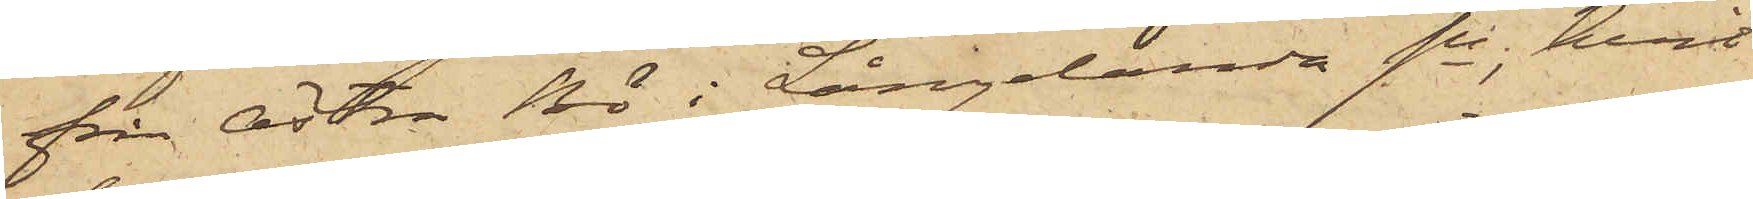från Östra Bö i Långelanda sn, hvil¬
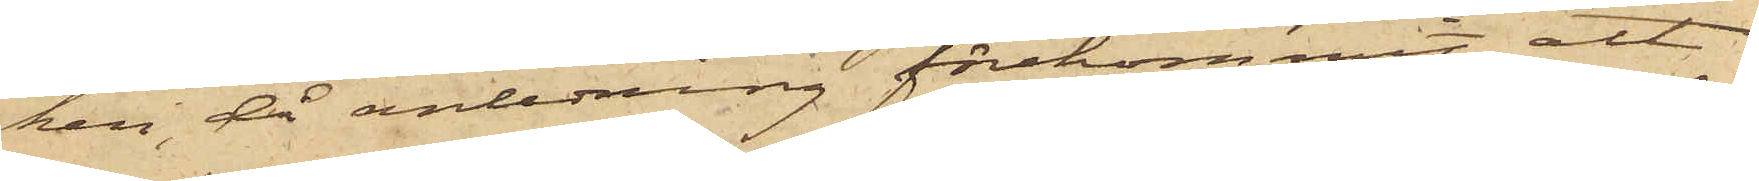ken, då anledning förekommit att
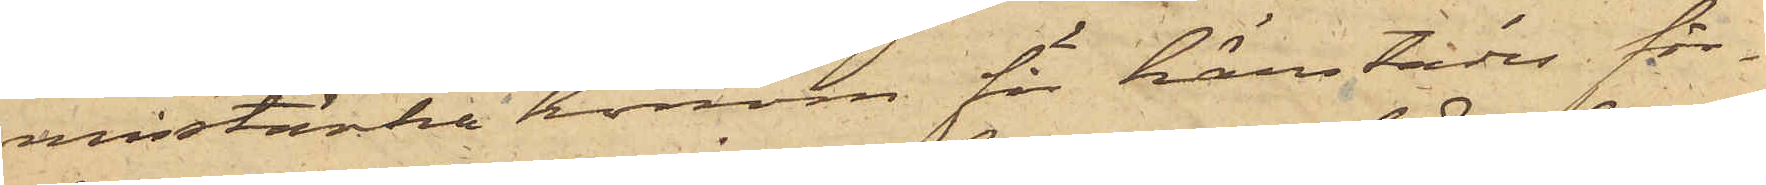misstänka honom för härstädes för¬
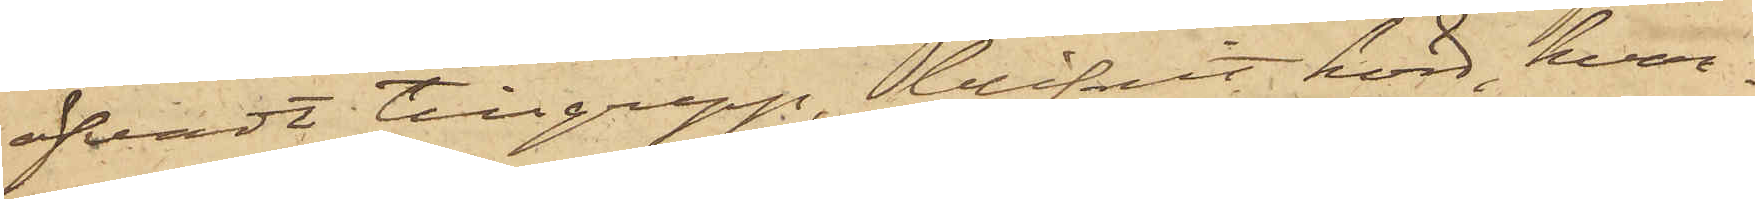öfvadt tillgrepp, blifvit hörd, hvar¬
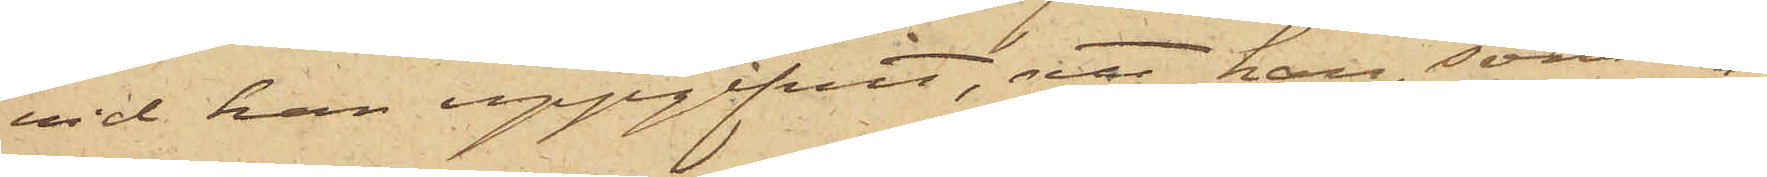vid han uppgifvit, att han, som om
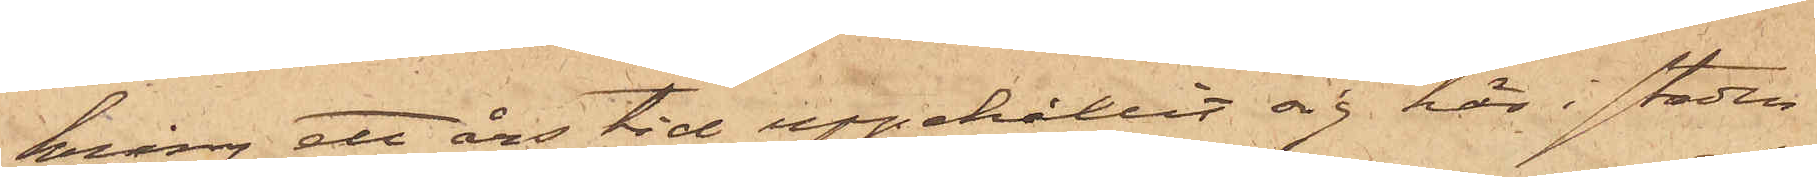kring ett års tid uppehållit sig här i staden
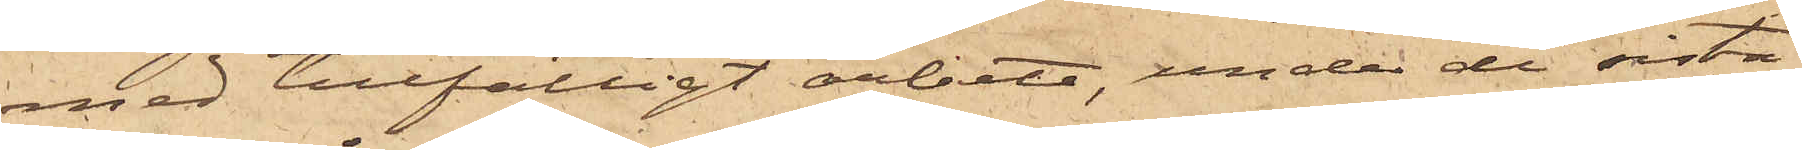med tillfälligt arbete, under de sista
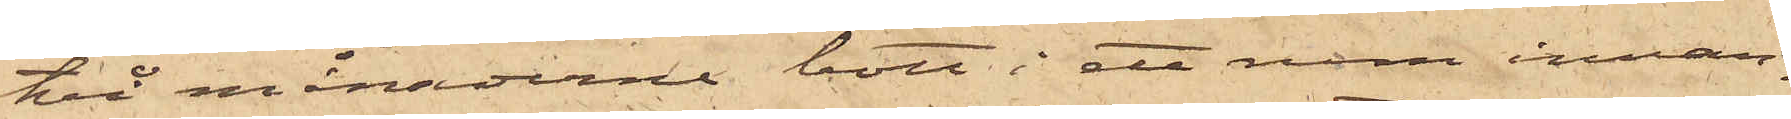två månaderne bott i ett rum innan¬
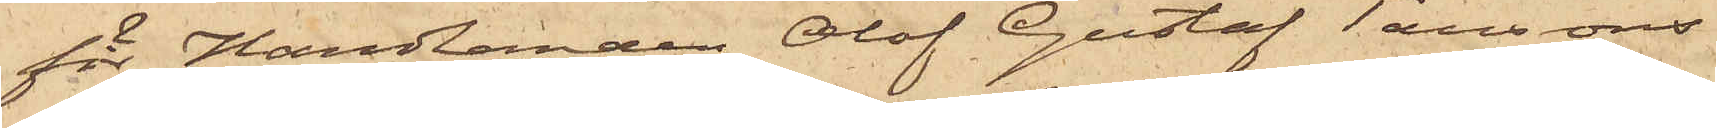för Handlanden Olof Gustaf Taussons
